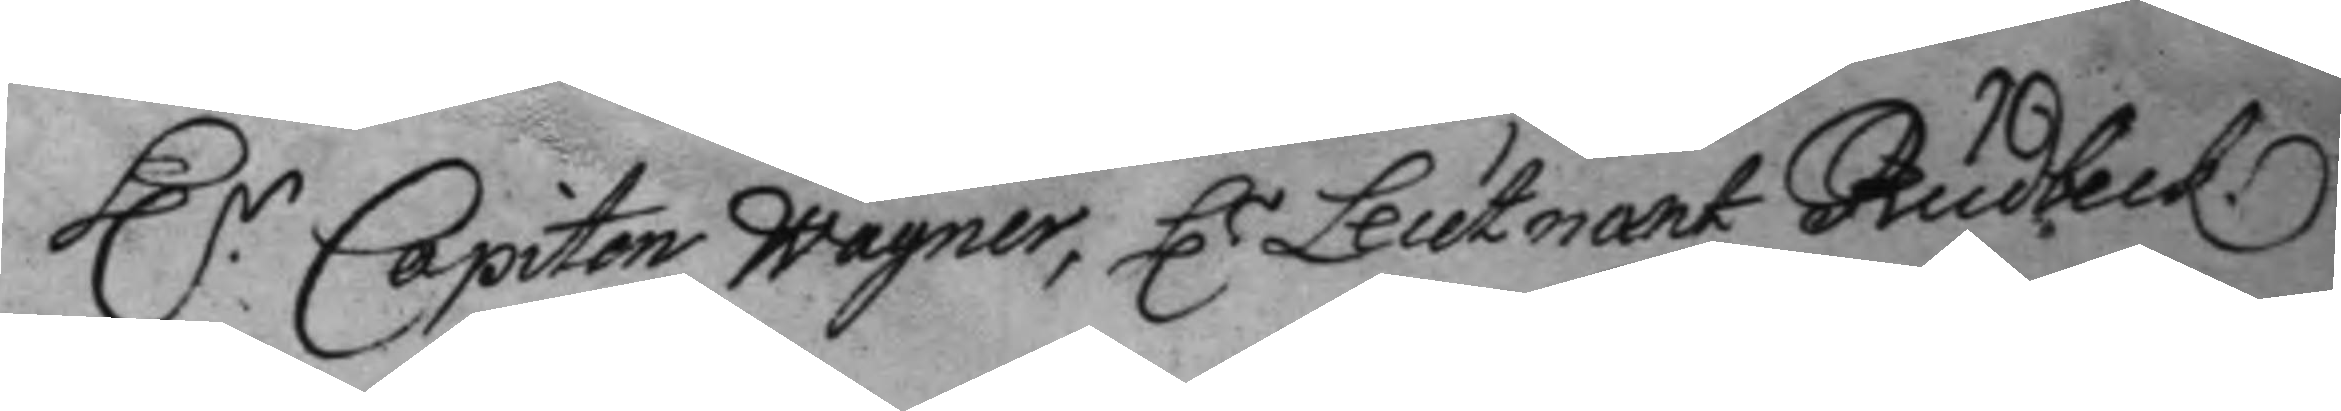H.r Capiten Wagner, H.r Leutnant Rudbeck
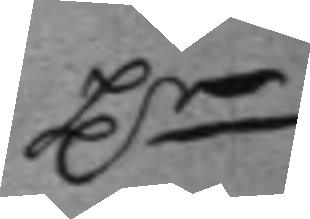Hr
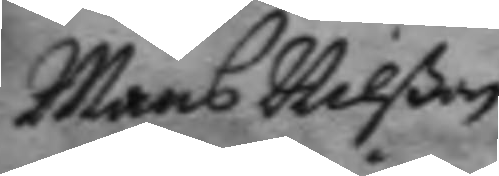Måns Nilßon
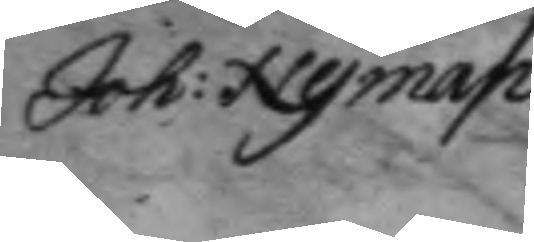Joh: Nyman
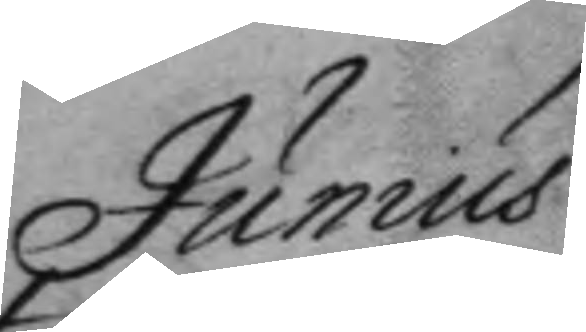Junius
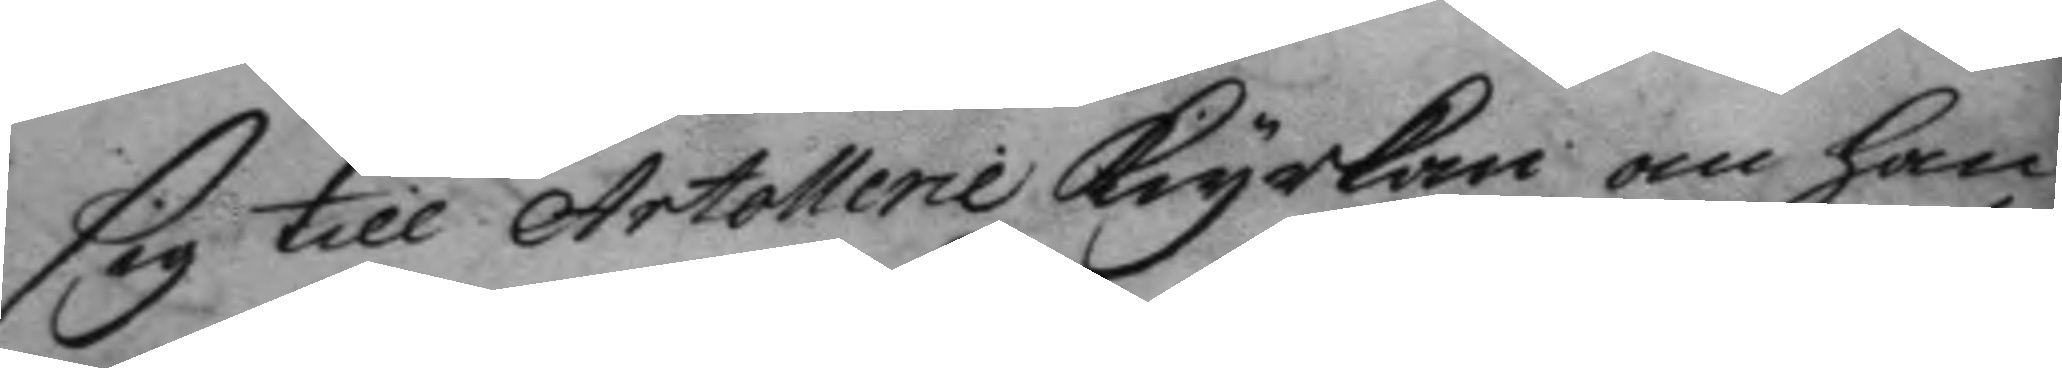sig till Artolleri kiyrkan om han
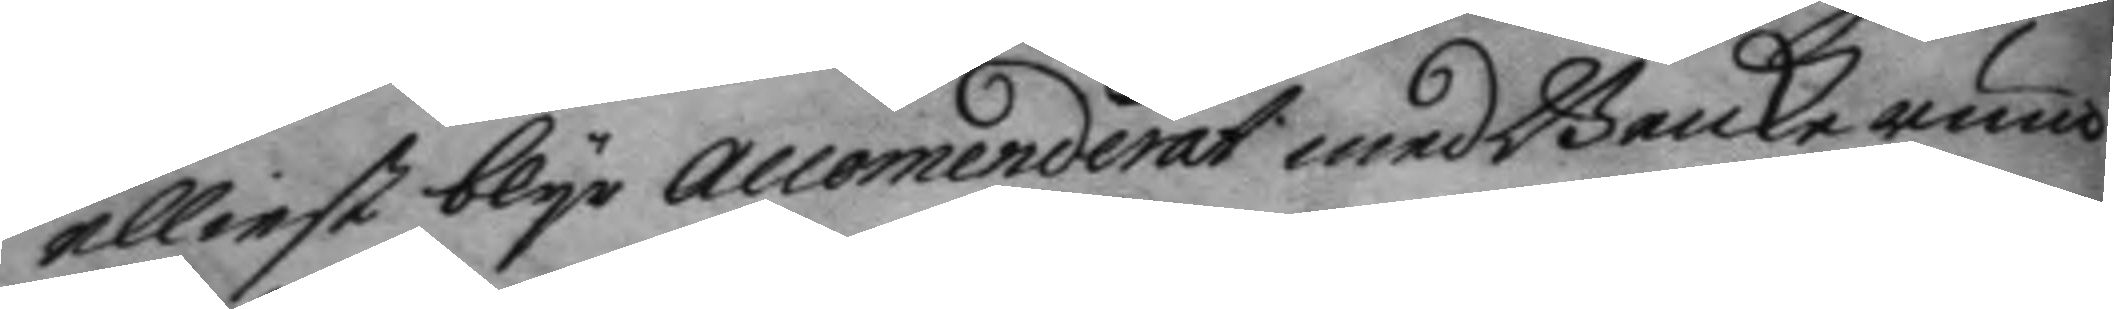elliest blyr accomenderat medh Benckerum.
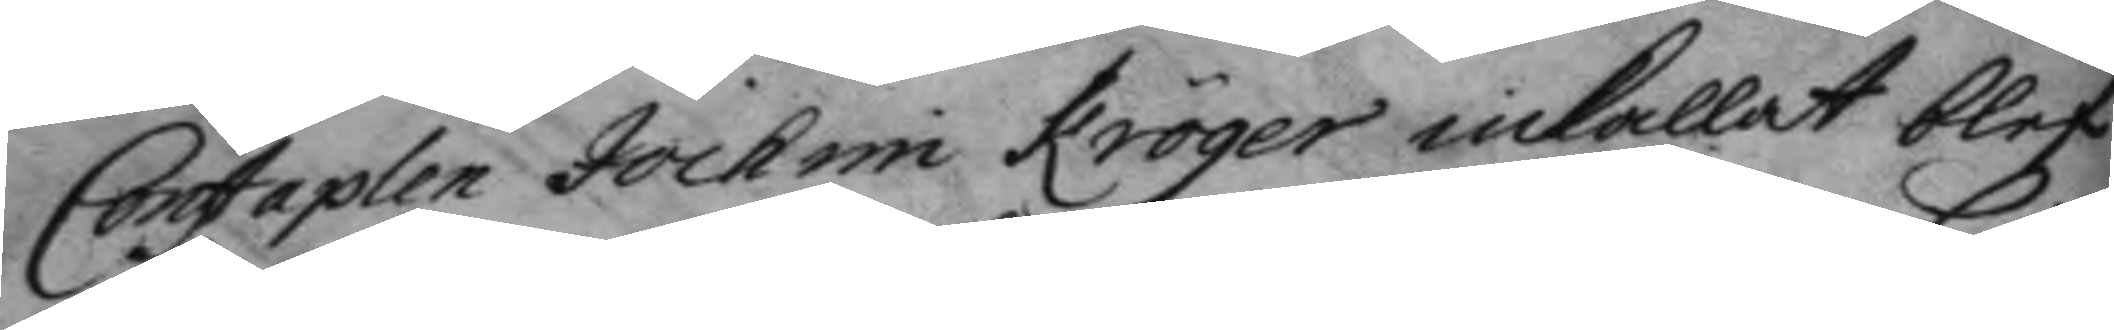Constaplen Jochim Kröger inkallat blef
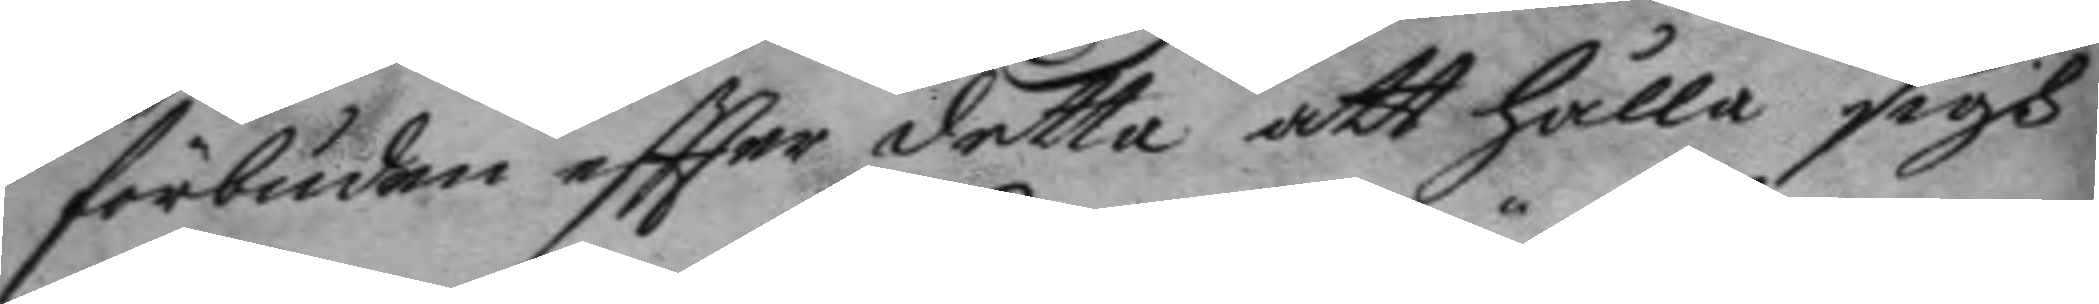förbuden eftter detta att hålla sigh
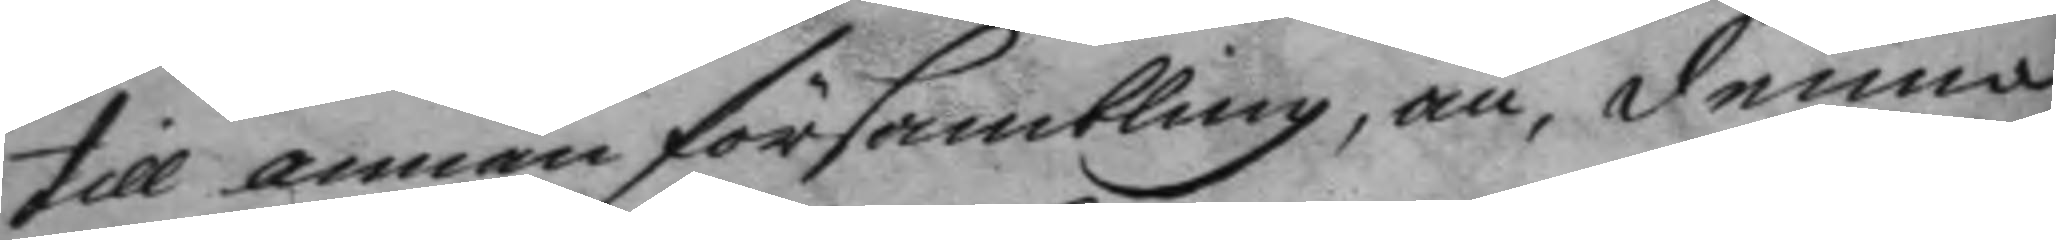till annan försambling, än, denna
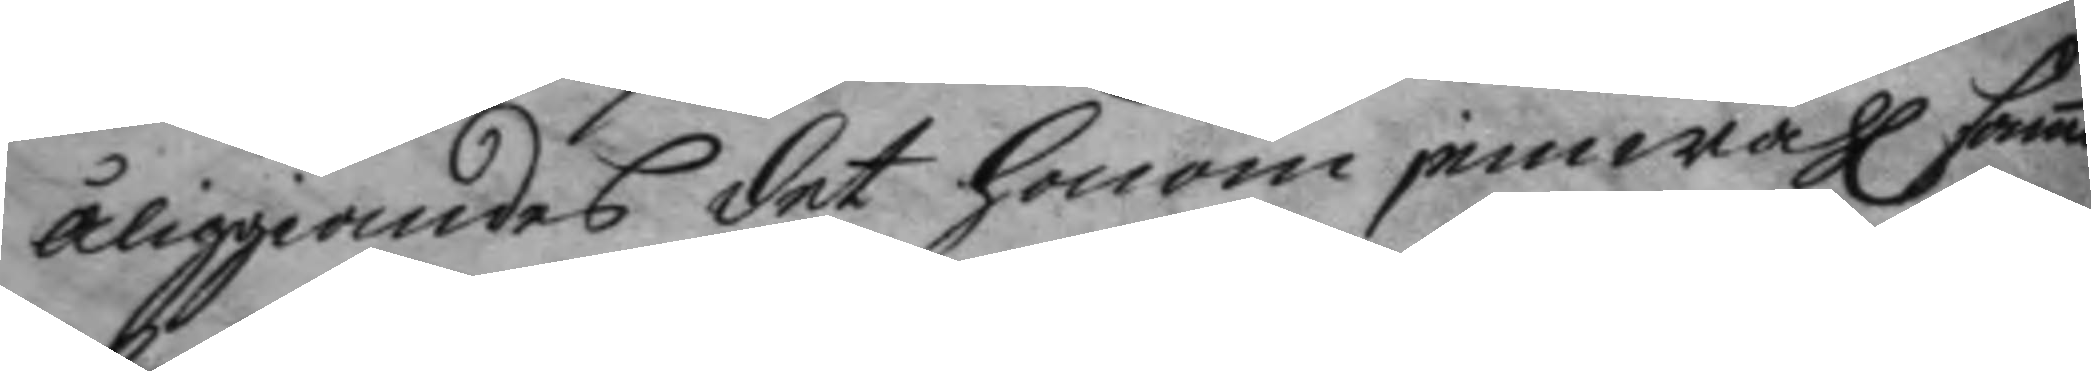åliggandes det honom jemwähl samm
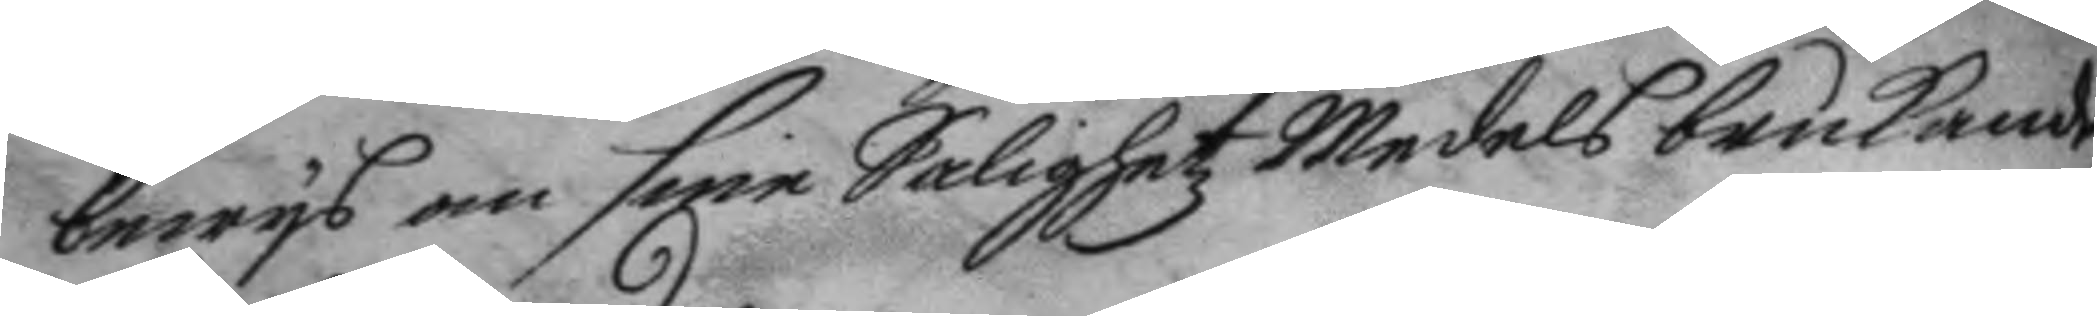bewys om sine Salighetz medels brukande
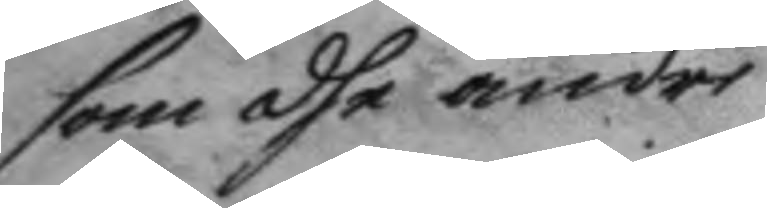som dhe andre.
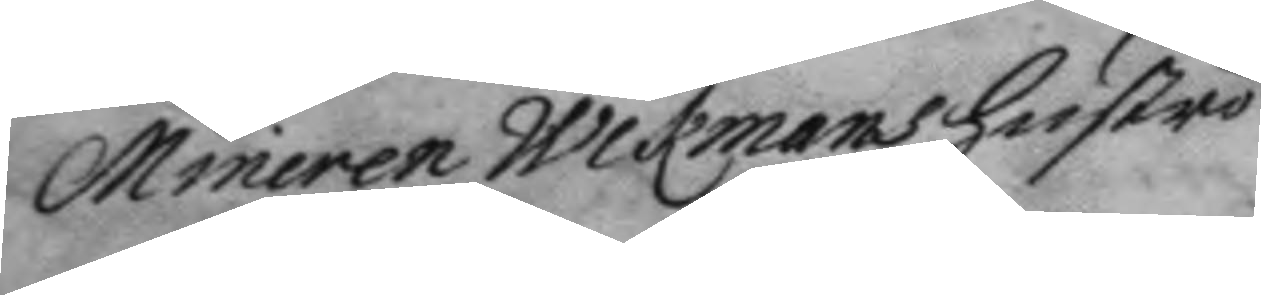Mineren Wikmans hustru
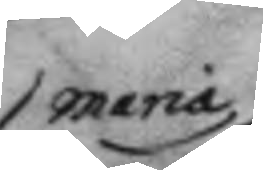Maria
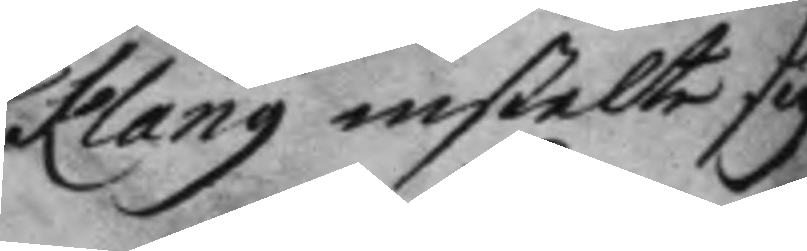Klang instelte sig
